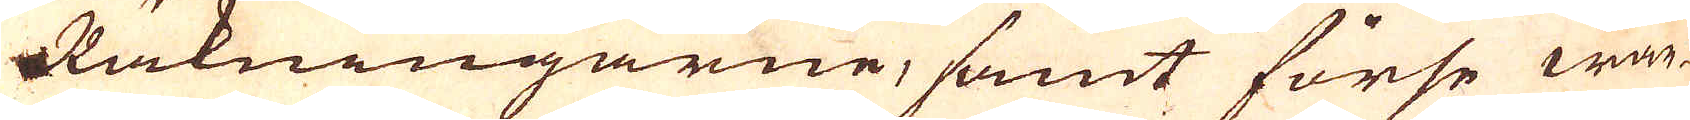Räkningarne, samt förse wär-
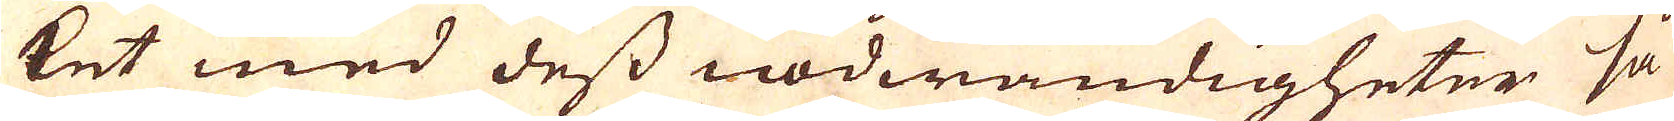ket med dess nödwändigheter så
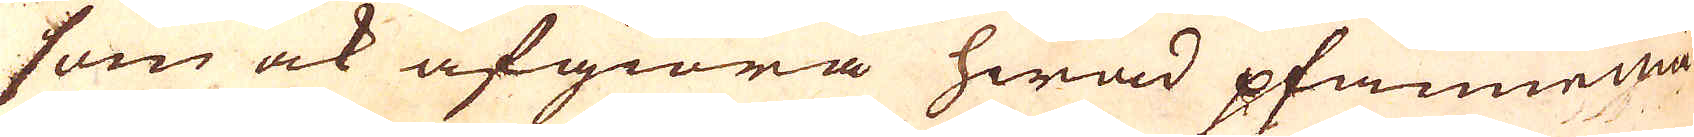som ock afgiöra hwad pfannemä-
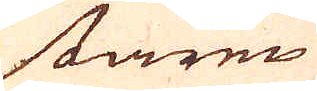staren
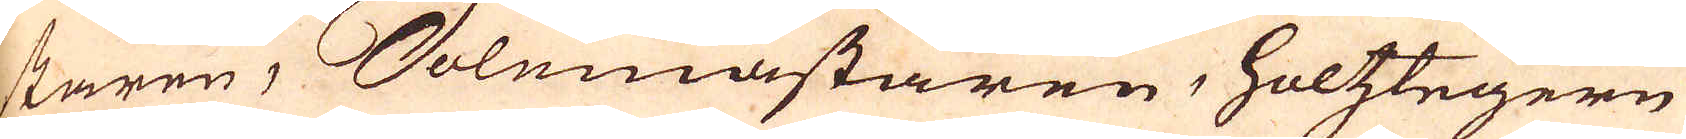staren, Solemästaren, holtzstegern
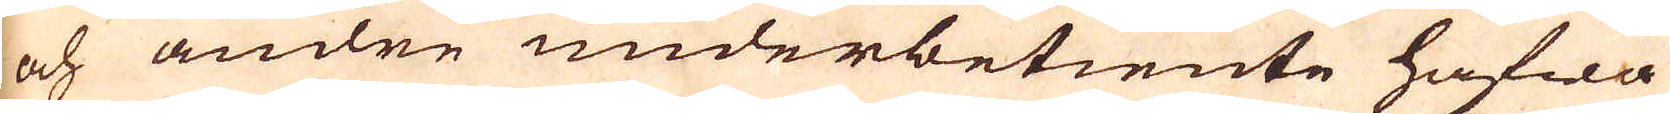och andre underbetiente hiafwa
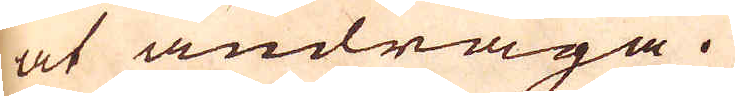at andraga.
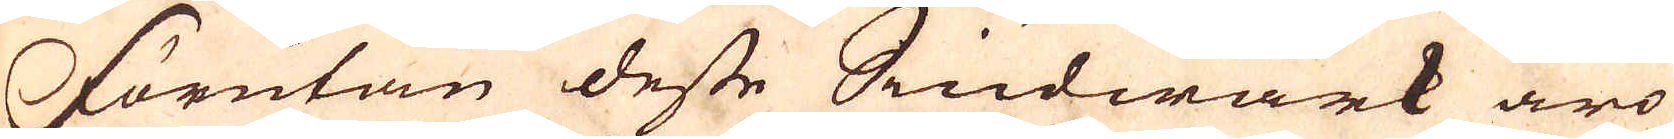Förutan desse Siudwärk äro
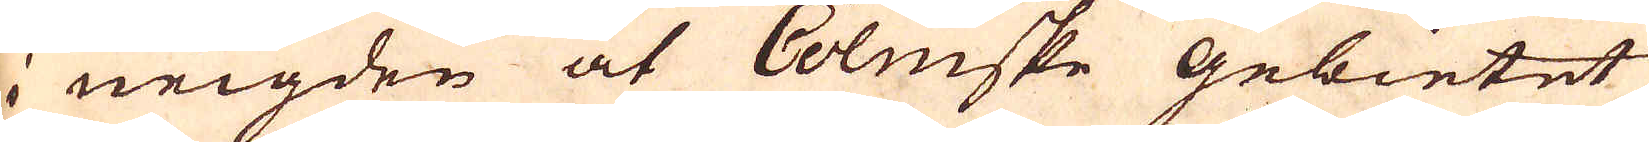i neigden at Cölnske Gebietet
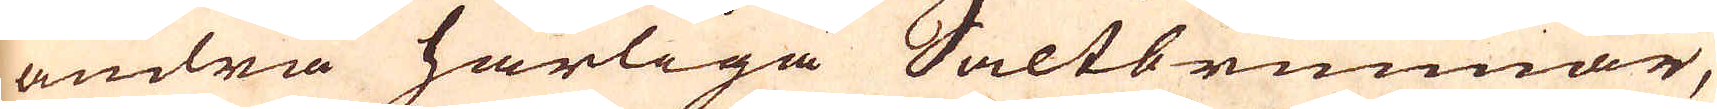andra härliga Saltbrunnar,
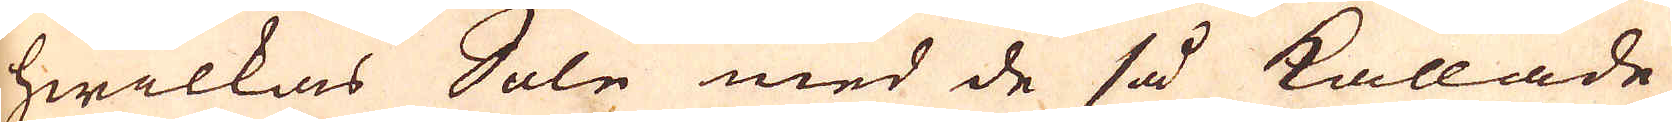hwilkas Sole med de så kallade
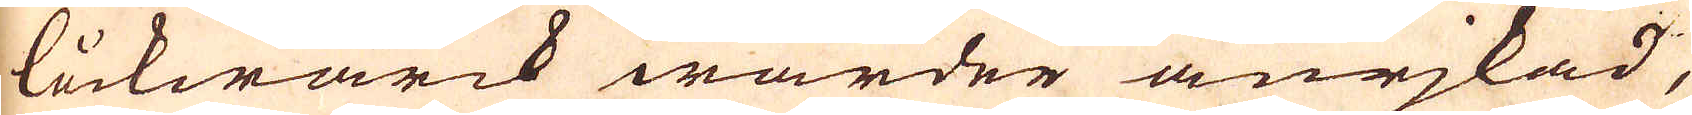läckwärck warder anejkad,
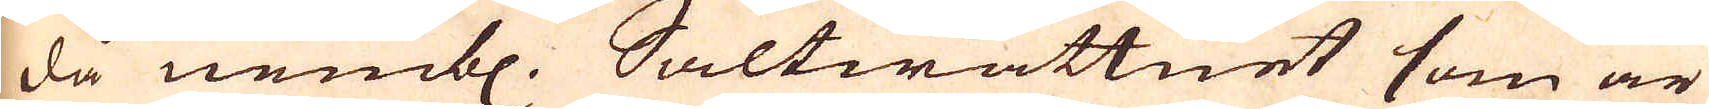då nembl. Saltwattnet som är
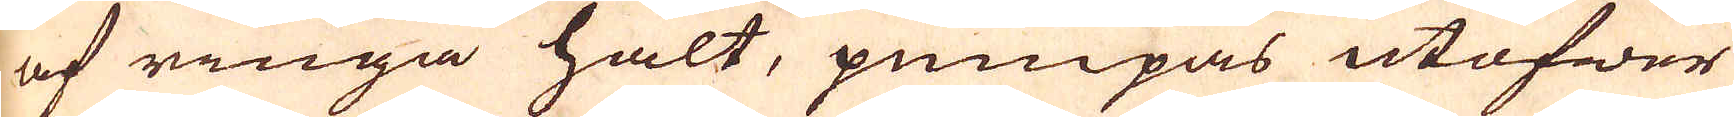af ringa halt, pumpas utöfwer
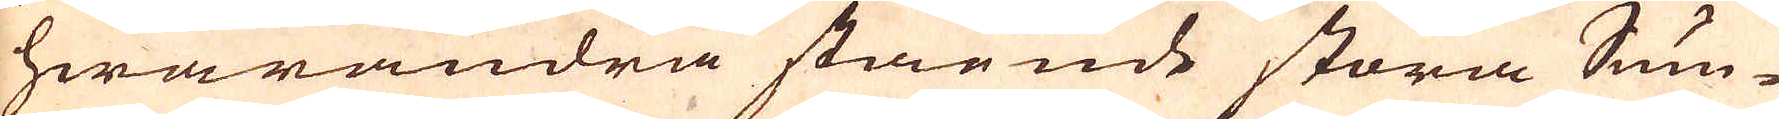hwarandra stående stora Pum-
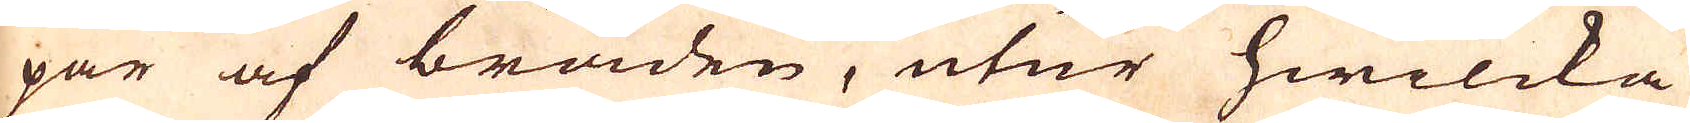par af bräden, utur hwilcka
